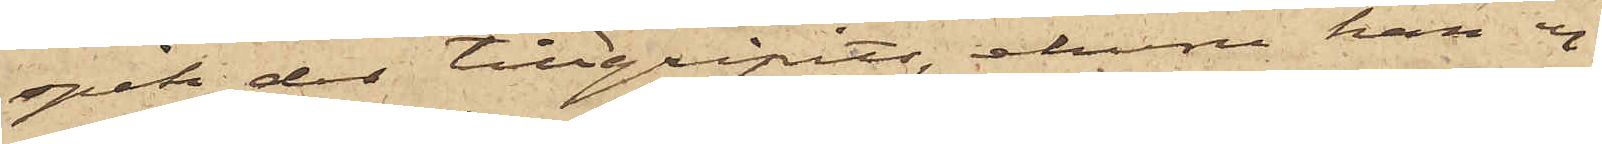spik der tillgripits, ehuru han ej
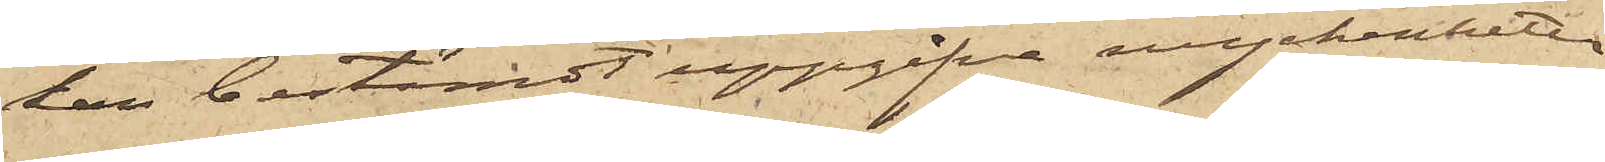kan bestämdt uppgifva myckenheten
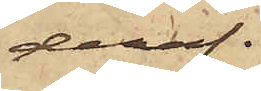deraf.
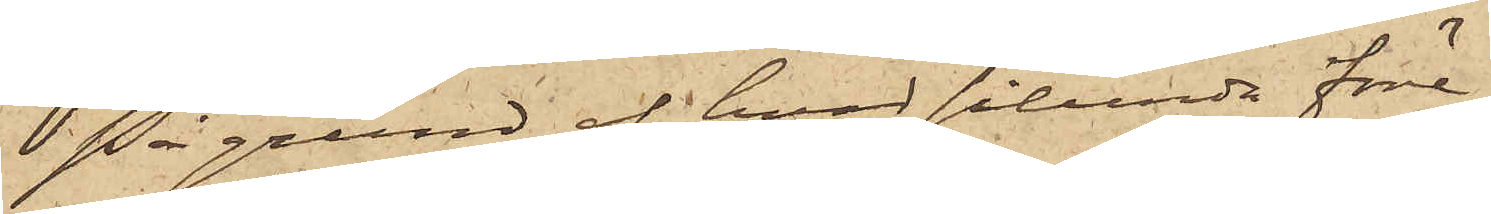På grund af hvad sålunda före¬
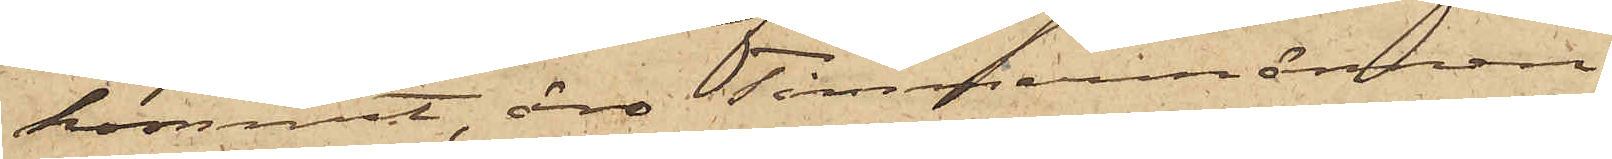kommit, äro Timmermännen
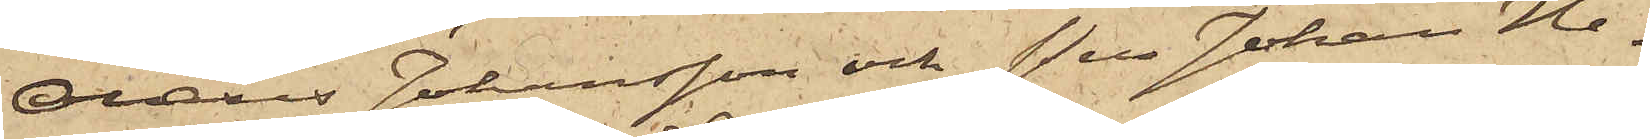Olaus Johansson och Per Johan He¬
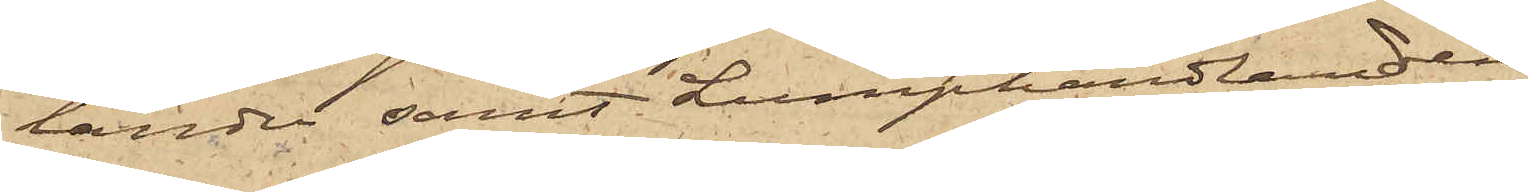lander samt Lumphandlanden
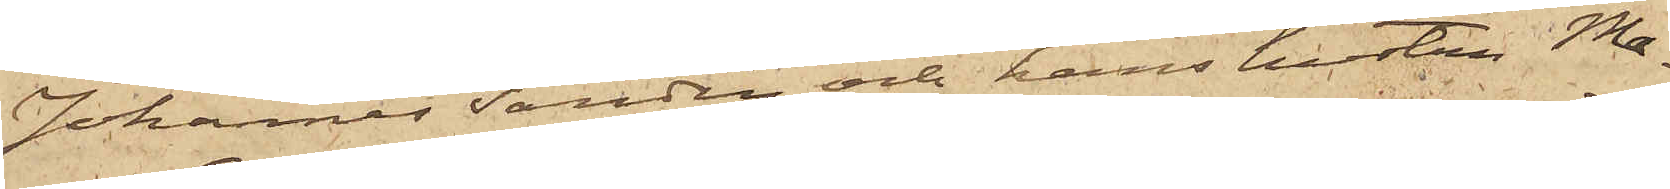Johannes Sandin och hans hustru Ma¬
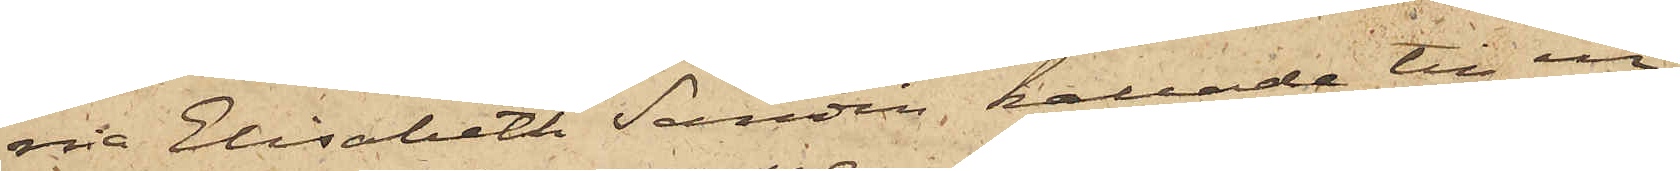via Elisabeth Sandin kallade till in¬
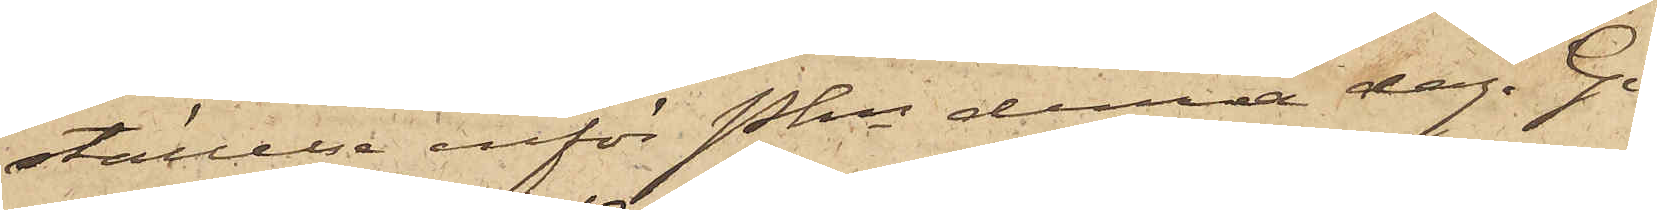ställelse inför Pkn denna dag. Gö¬
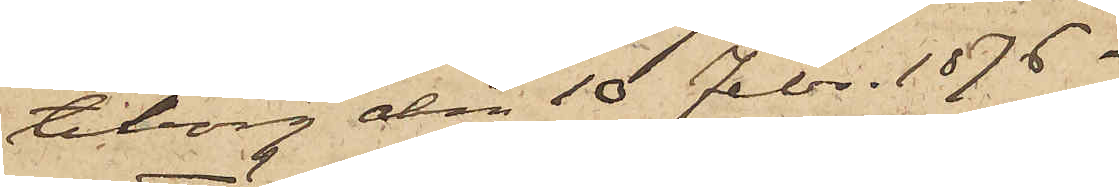teborg den 10 Febr. 1876.
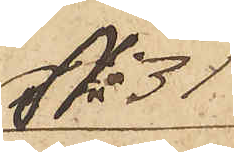No 31
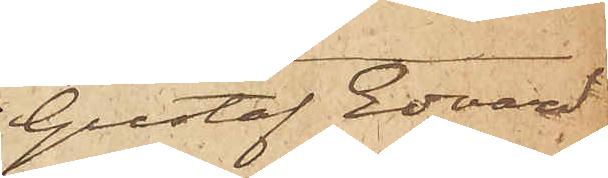Gustaf Edvard
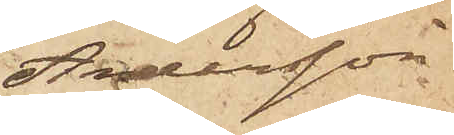Andersson
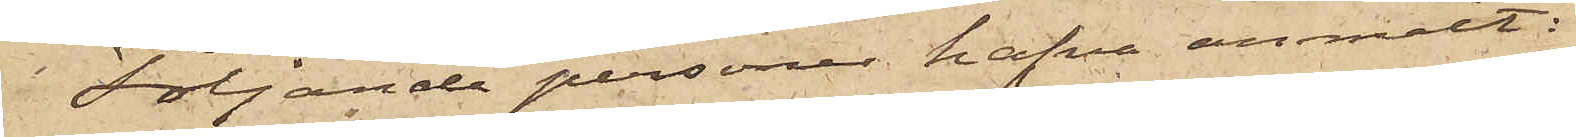Följande personer hafva anmält:
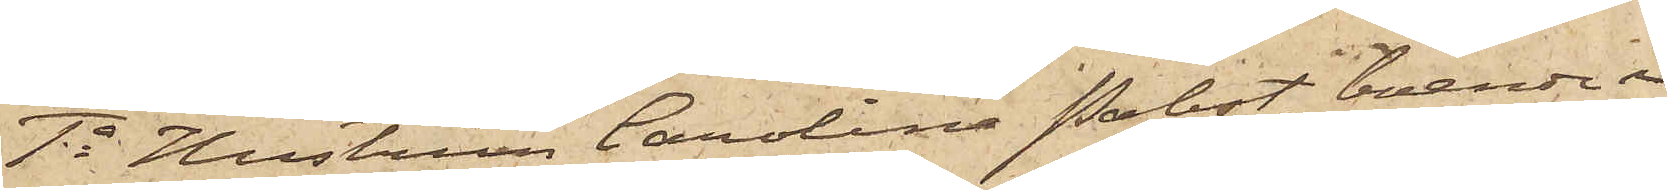1o Hustrun Carolina Probst, boende i
